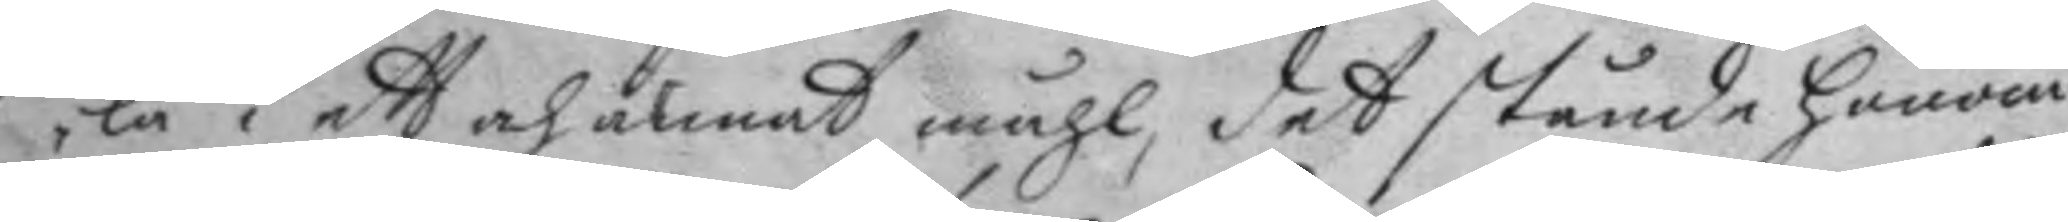la i ett och annat måhl, det stånde honom
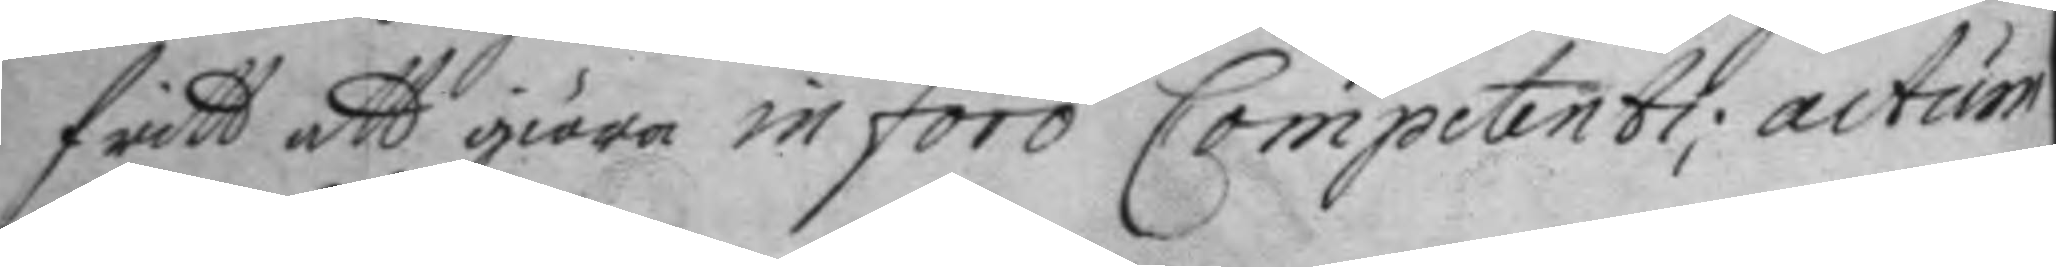fritt att giöra in foro Competenti; actum
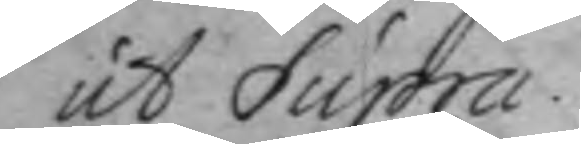ut Supra.
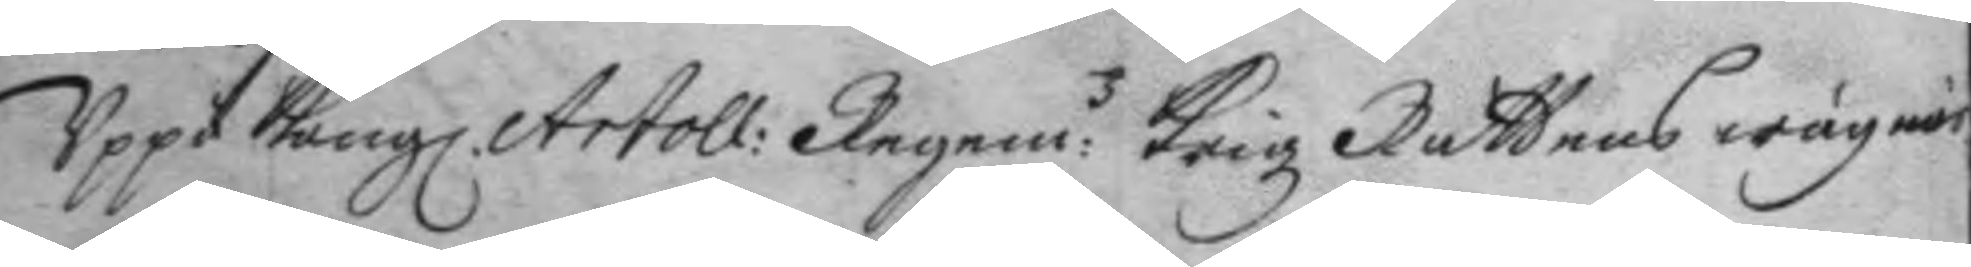Uppå Kongl. Artoll: Regem:z Krigz Rättens wägnar
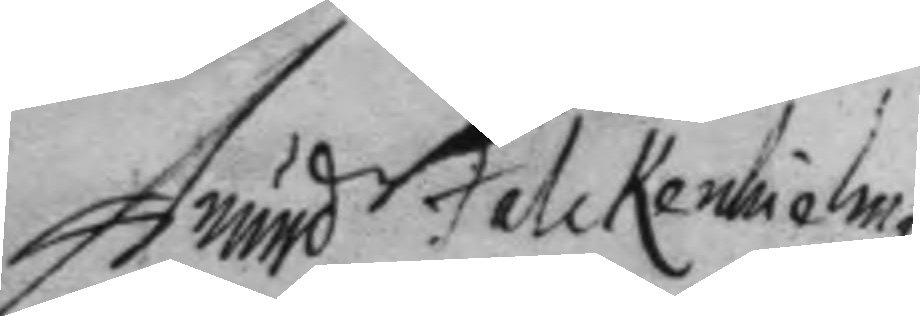Anund Falckenhielm
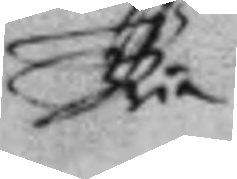Ria
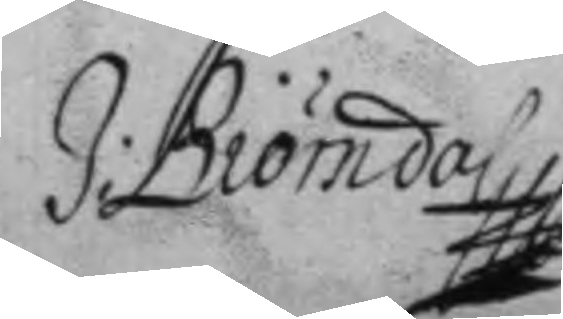J: Biörndal
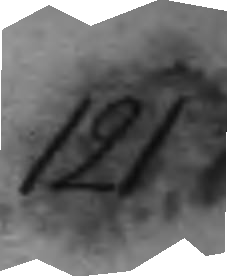121
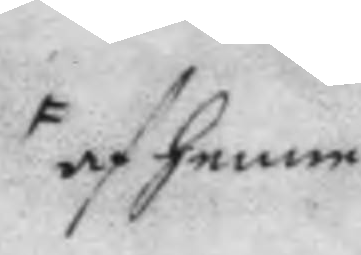af henne
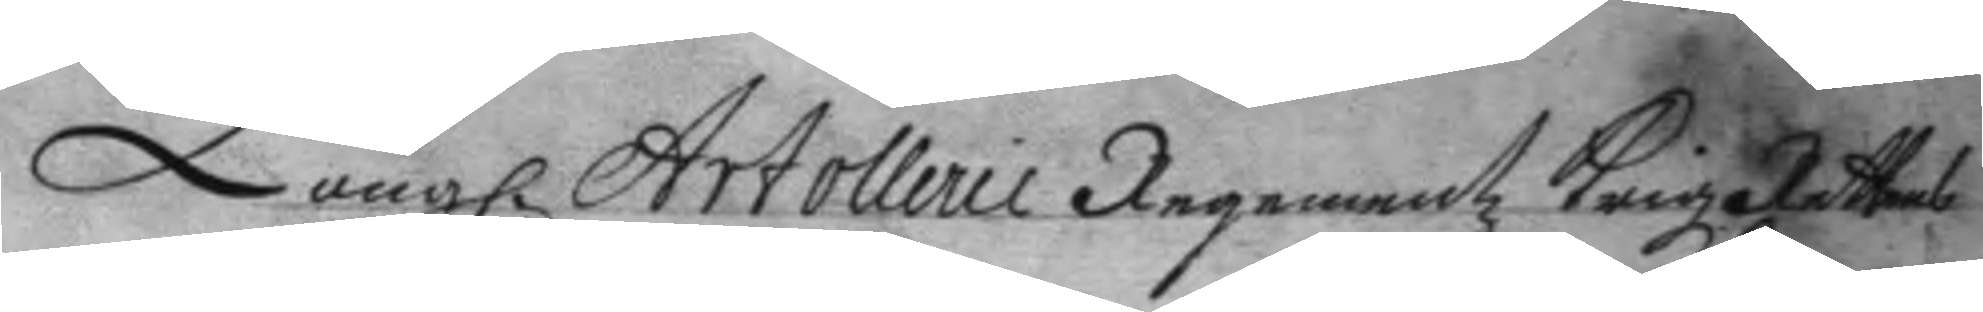Kongl. Artolleri Regementz Krigz Rättens
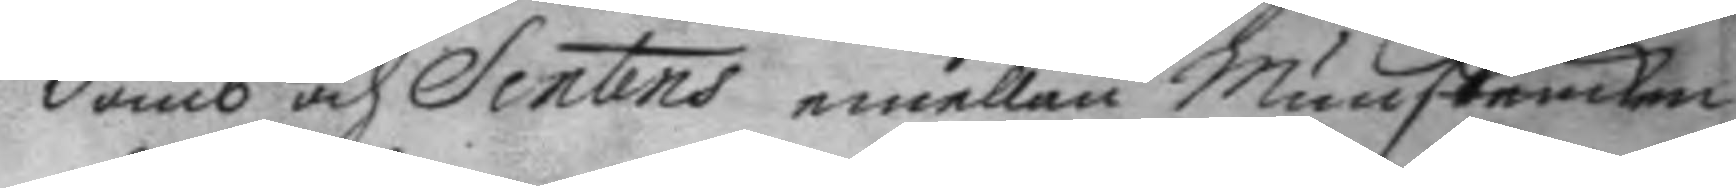domb och Sentes emellan Munskencken
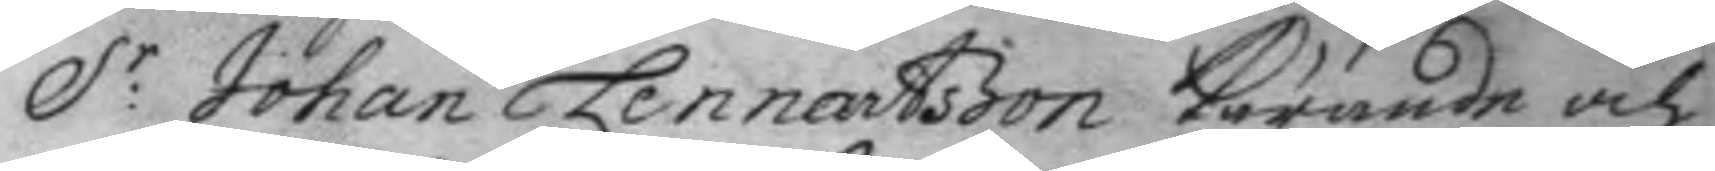S:r Johan Lennartsson kärande och
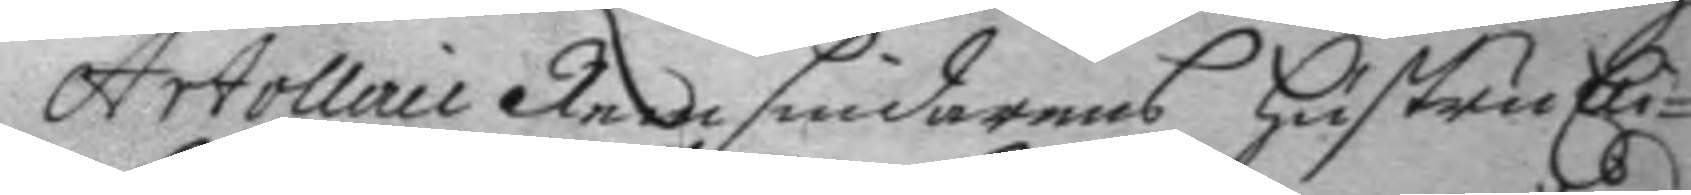Artollerie Remsnidarens hustru Eli¬
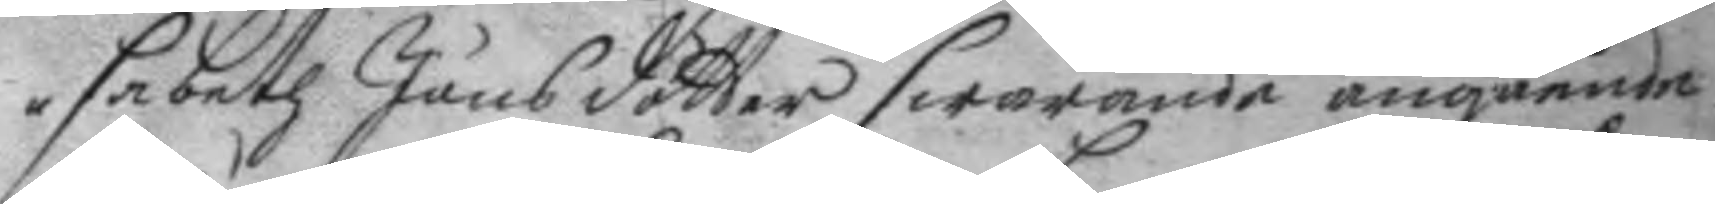sabeth Jönsdotter swarande angående
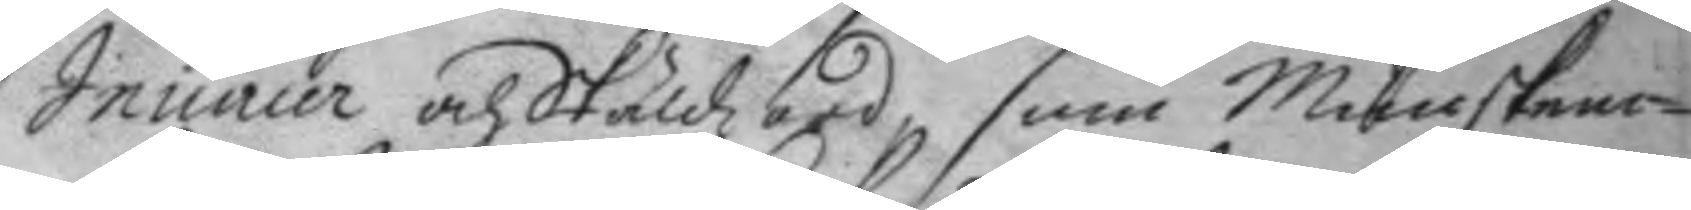Iniurier och Skäldzord som Munsken¬
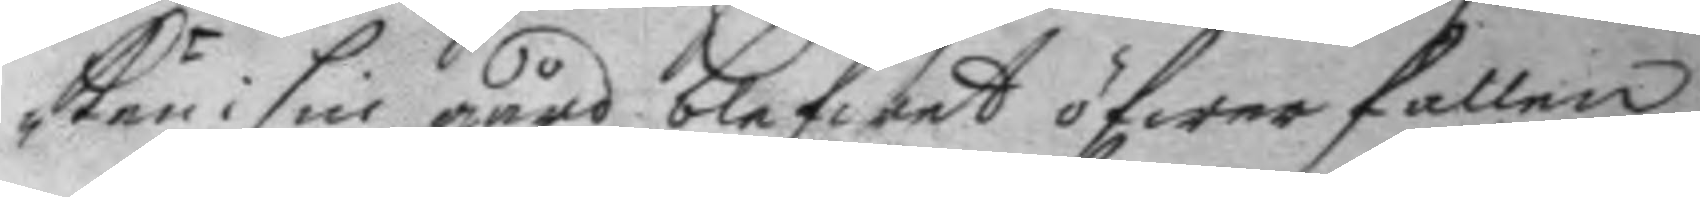ken i sin gård blefwet öfwerfallen
